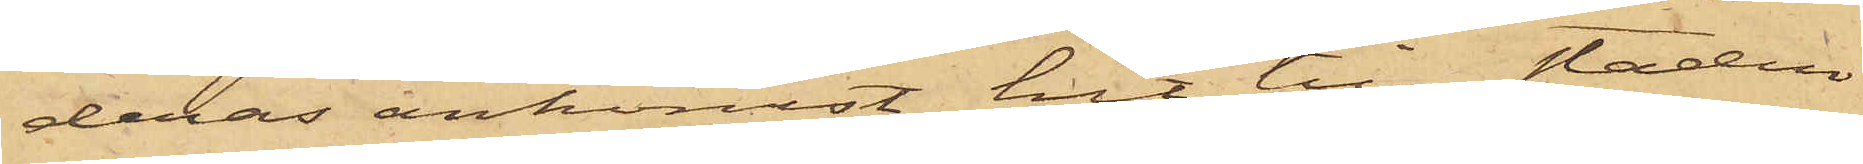deras ankomst hit till staden
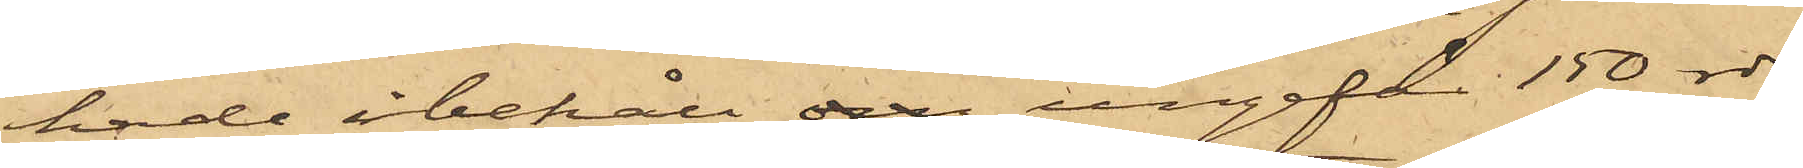hade i behåll om ungefär 150 rdr,
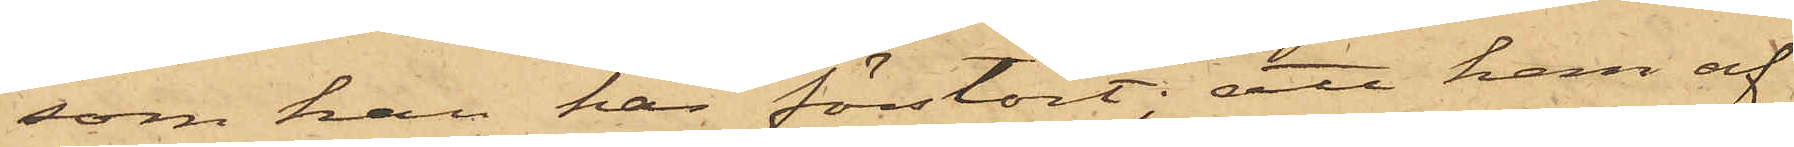som han här förstört; att han af
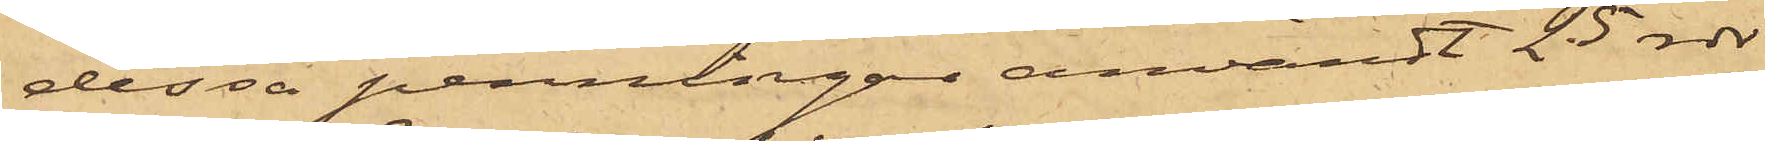dessa penningar användt 25 rdr
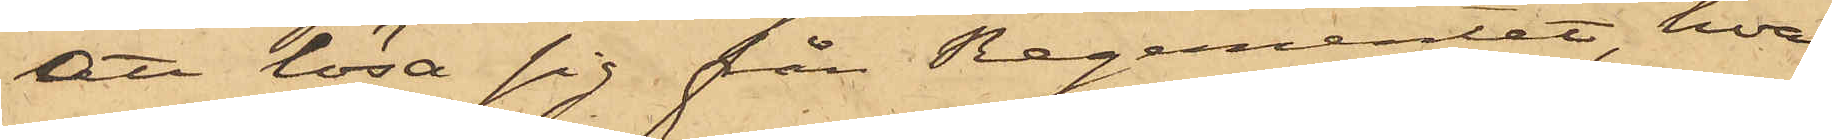att lösa sig från Regementet, hvar¬
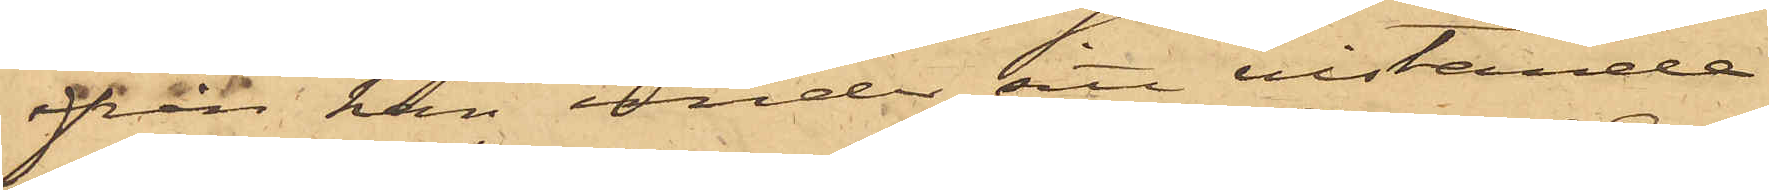ifrån han under sitt vistande
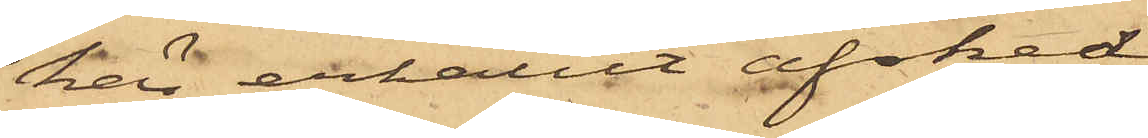här erhållit afsked,
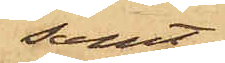samt
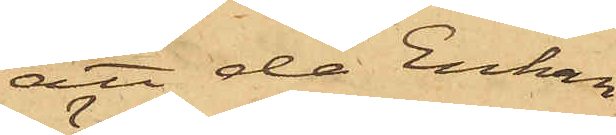att då Enkan
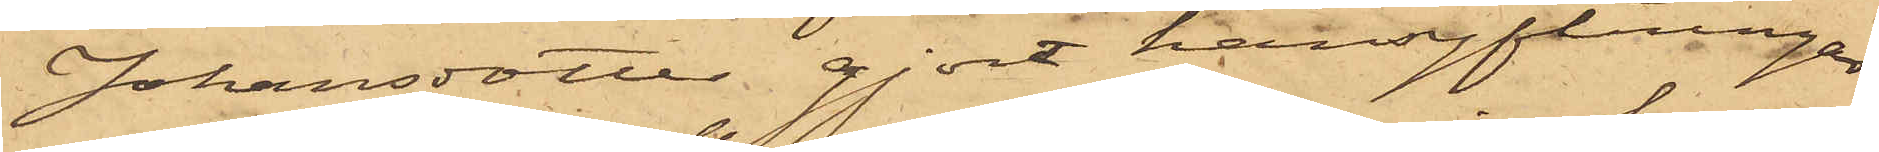Johansdotter gjort hänsyftningar
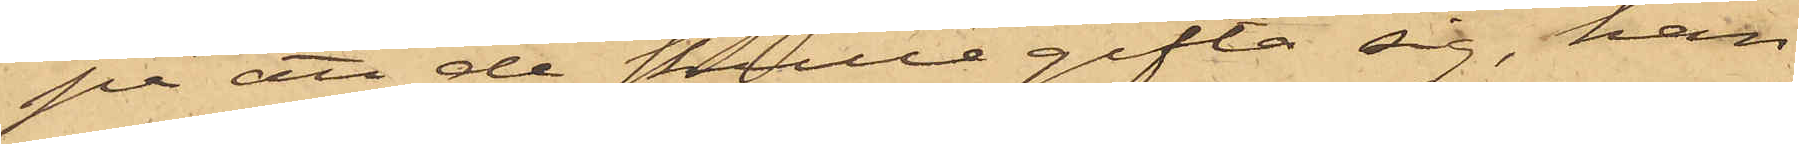på att de skulle gifta sig, han
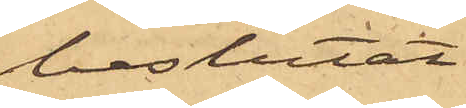beslutat
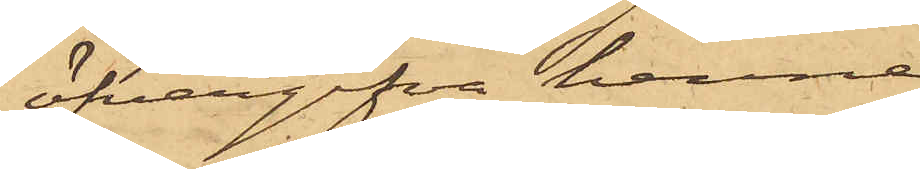öfvergifva henne
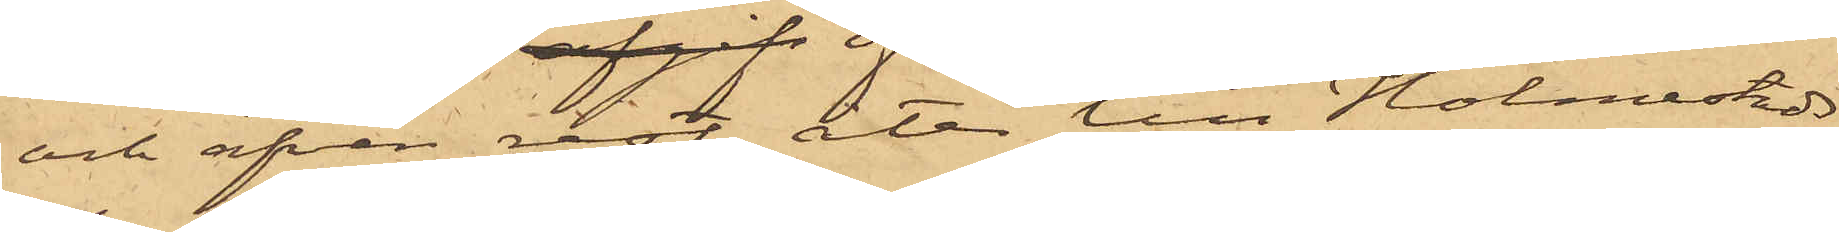och äfven rest åter till Holmestads
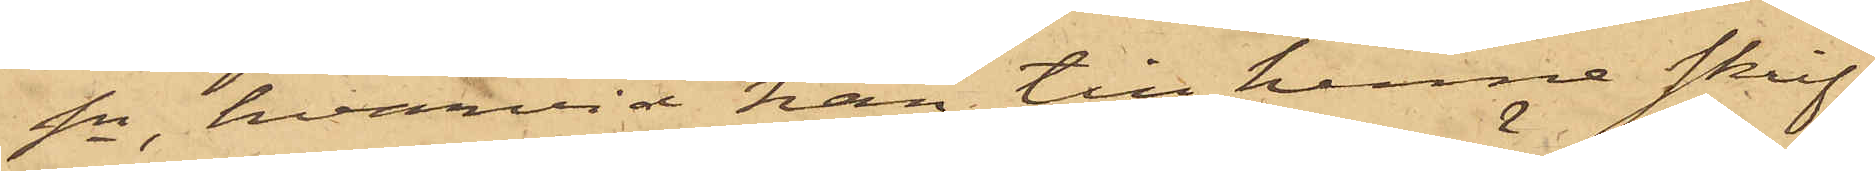Sn, hvarvid han till henne skrif¬
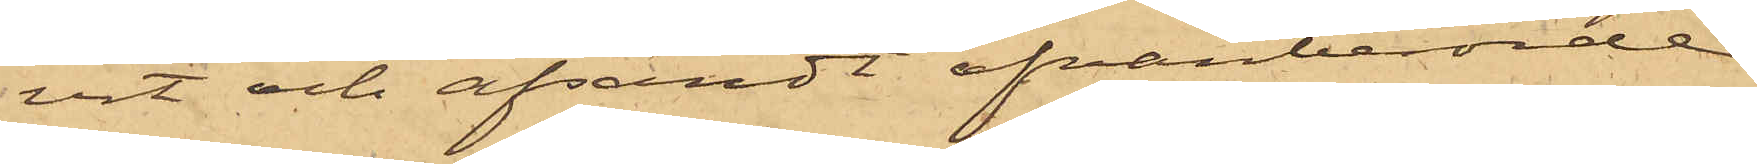vit och afsändt ofvanberörde
